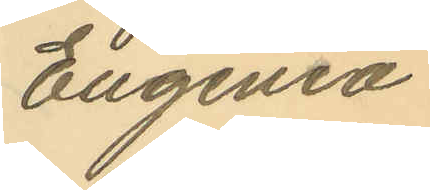Eugenia
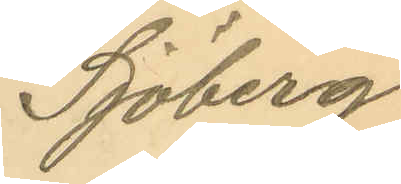Sjöberg
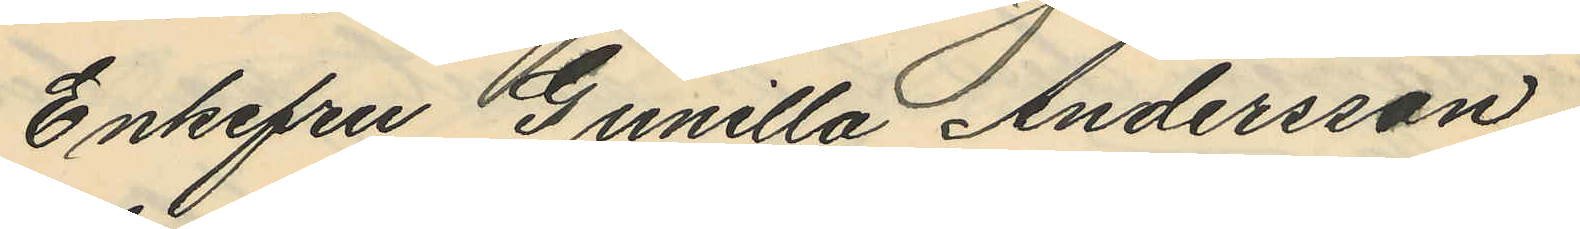Enkefru Gunilla Andersson,
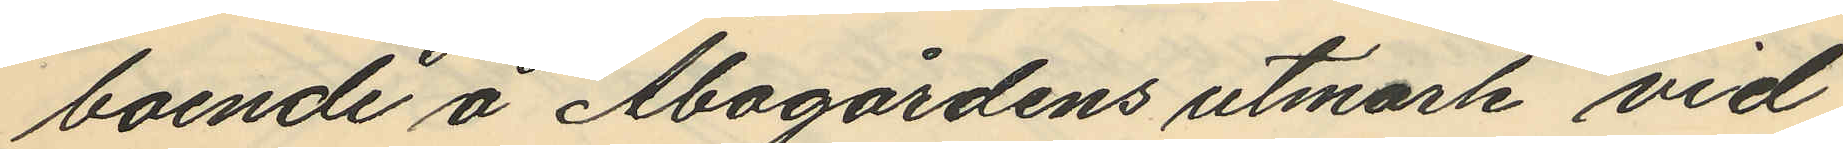boende å Åbogårdens utmark vid
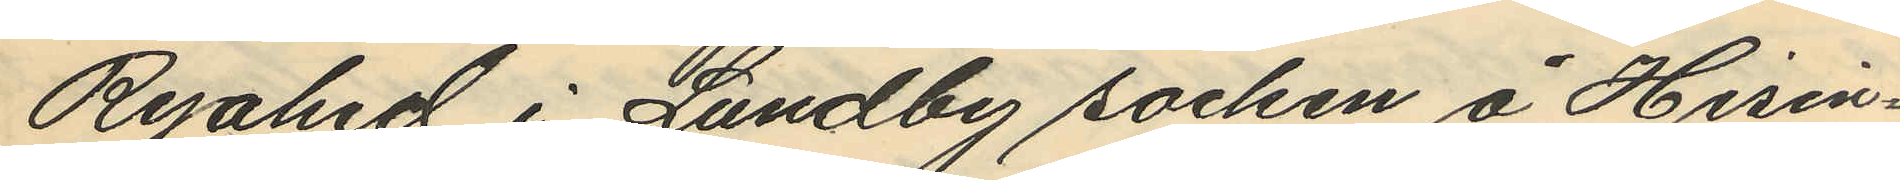Ryahed i Lundby socken å Hisin¬
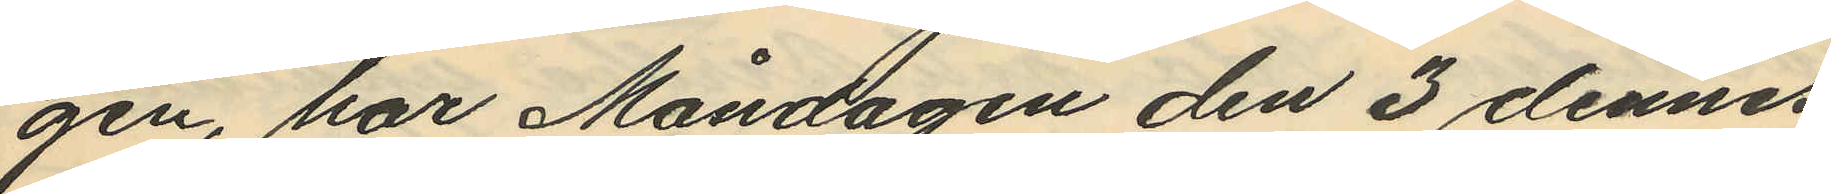gen, har Måndagen den 3 dennes
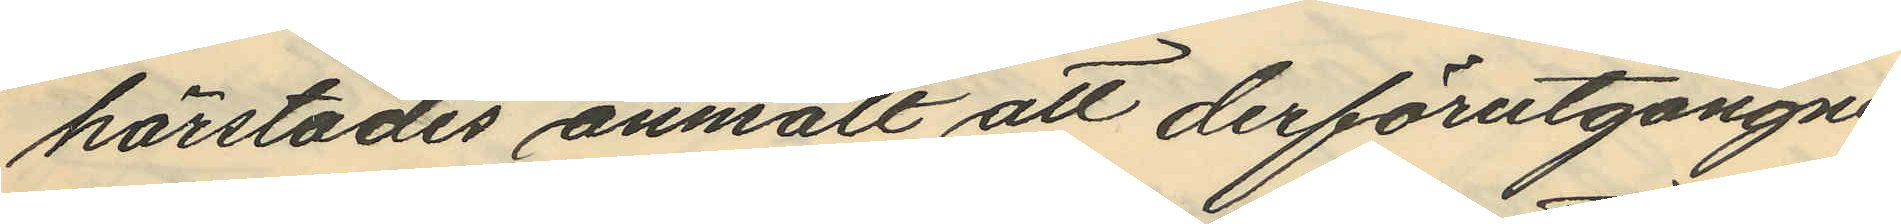härstädes anmält att derförutgångne
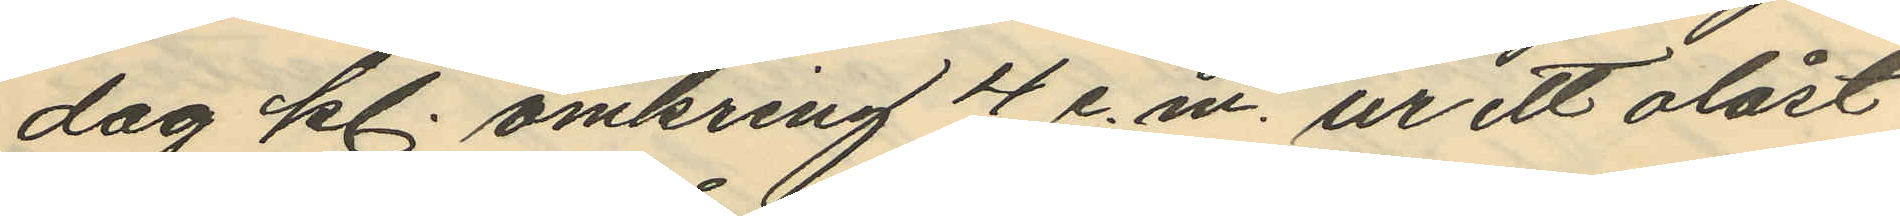dag kl. omkring 4 e.m. ur ett olåst
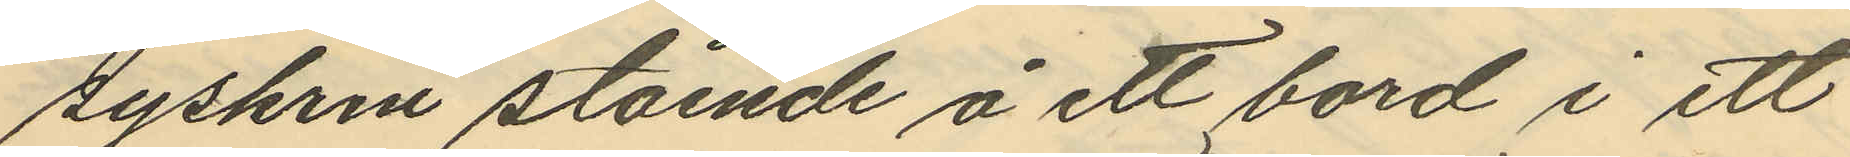syskrin stående å ett bord i ett
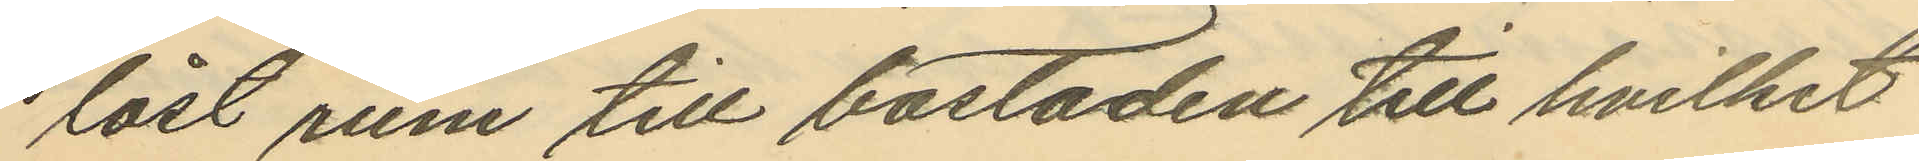låst rum till bostaden till hvilket
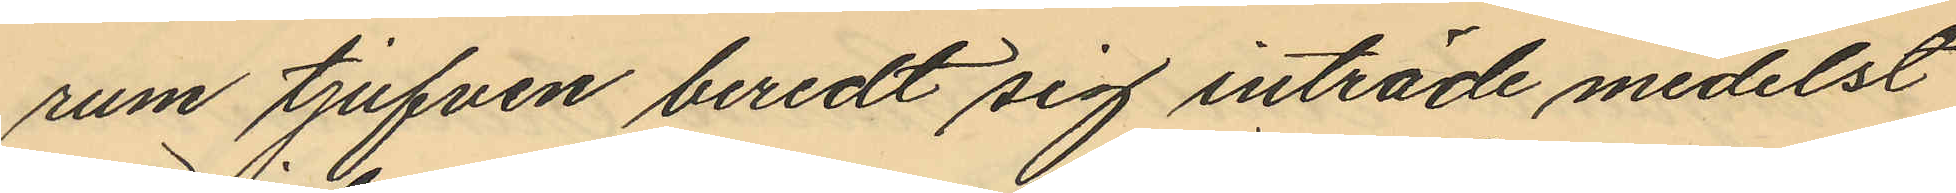rum tjufven beredt sig inträde medelst
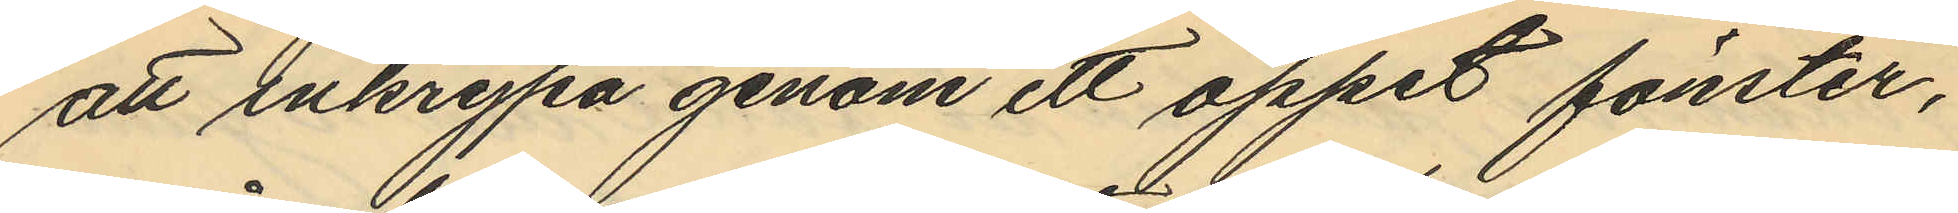att inkrypa genom ett öppet fönster,
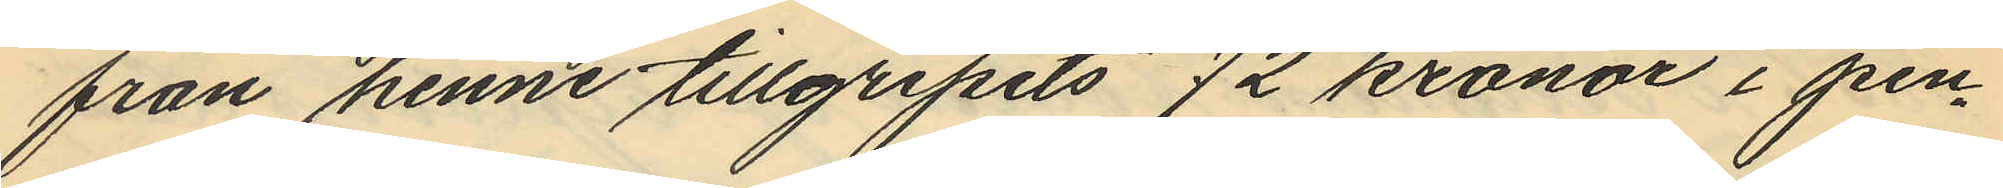från henne tillgripits 72 kronor i pen¬
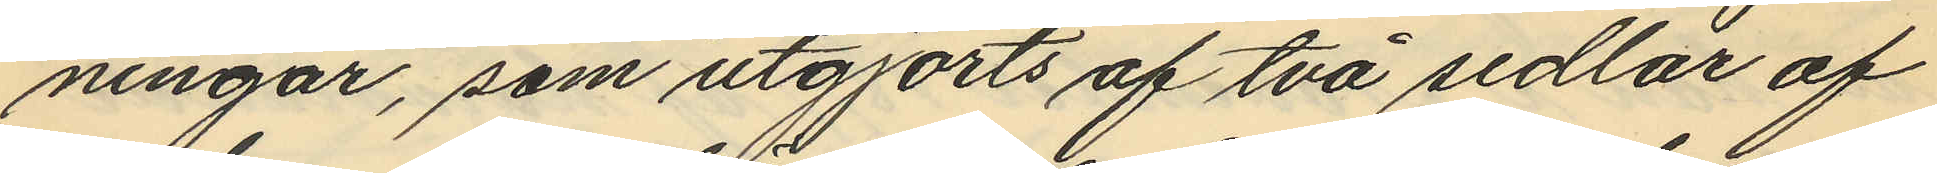ningar, som utgjorts af två sedlar af
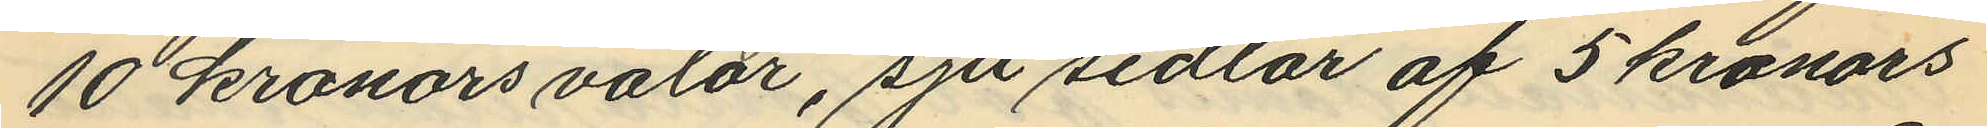10 kronors valör, sju sedlar af 5 kronors
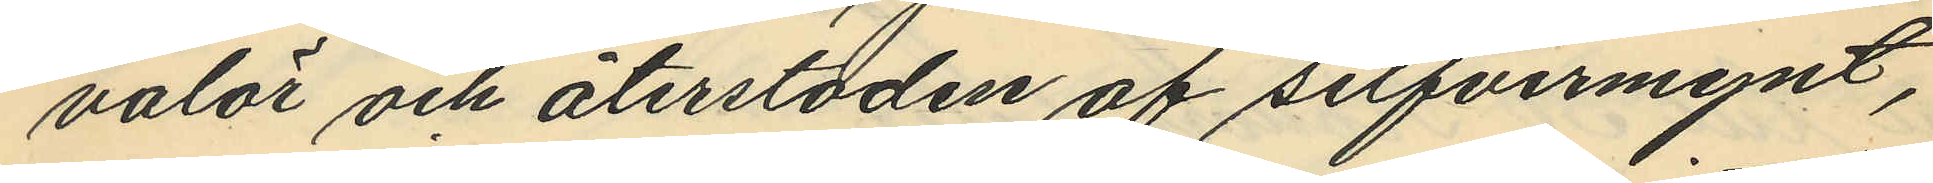valör och återstoden af silfvermynt,
